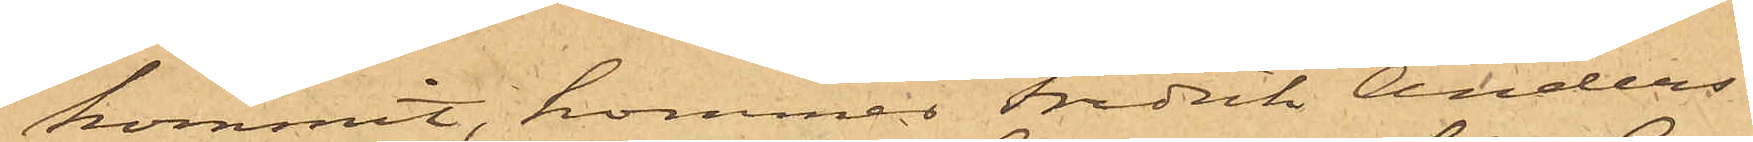kommit, kommer Fredrik Anders¬
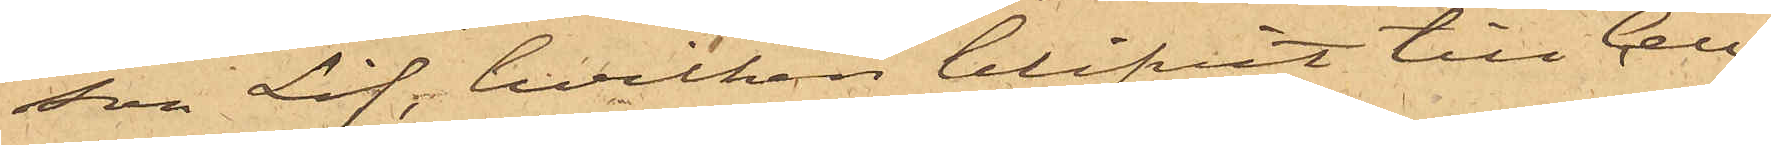son Lif, hvilken blifvit till Cell¬
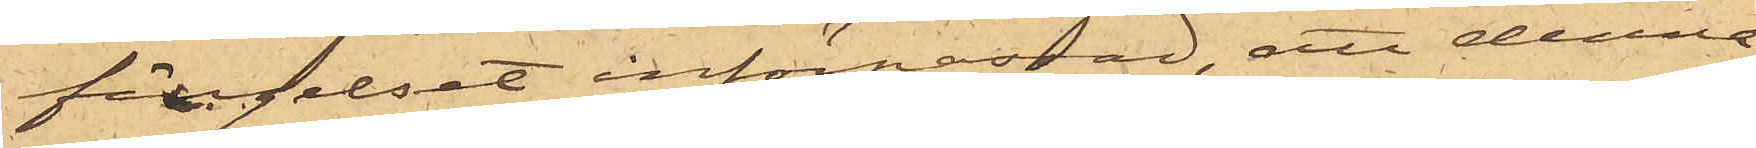fängelset införpassad, att denna
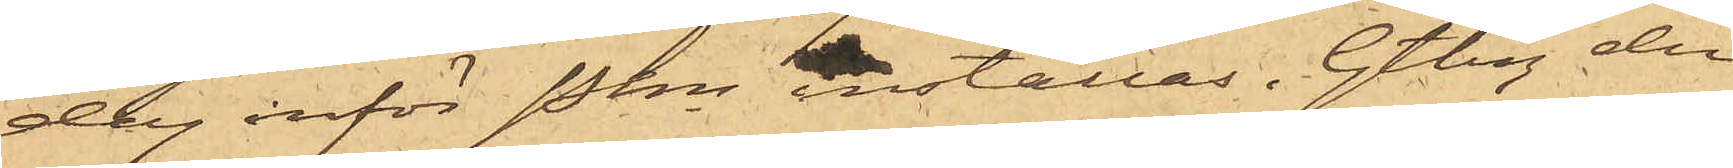dag inför Pkn inställas. Gtbg den
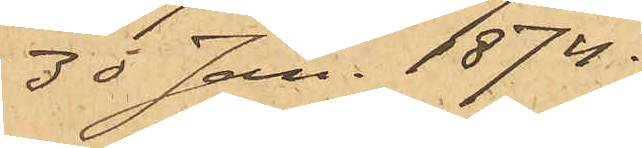30 Jan. 1874.
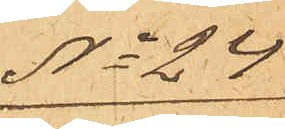No 24
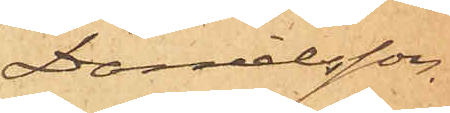Danielsson.
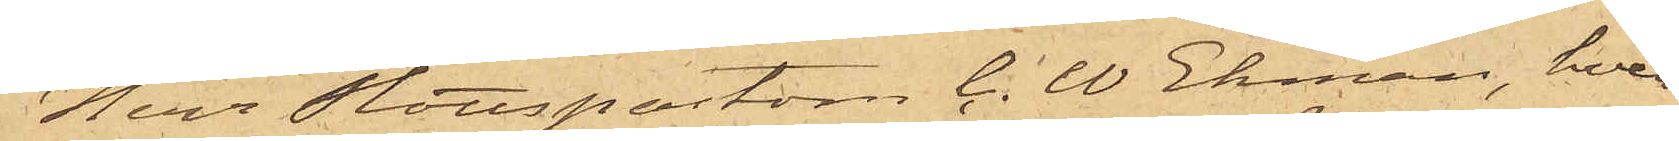Herr Slottspastorn C. W. Ekman, boen¬
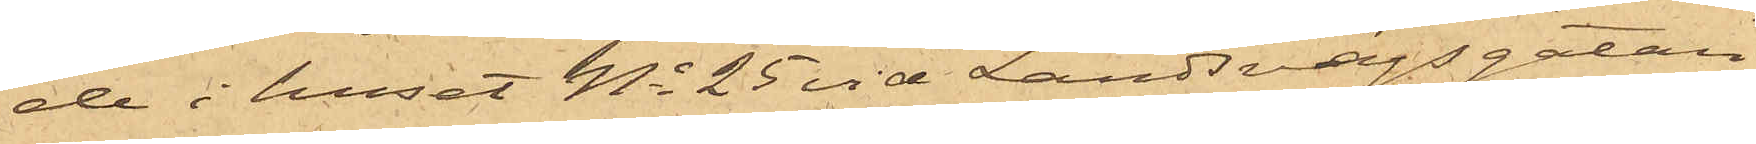de i huset No 25 vid Landsvägsgatan,
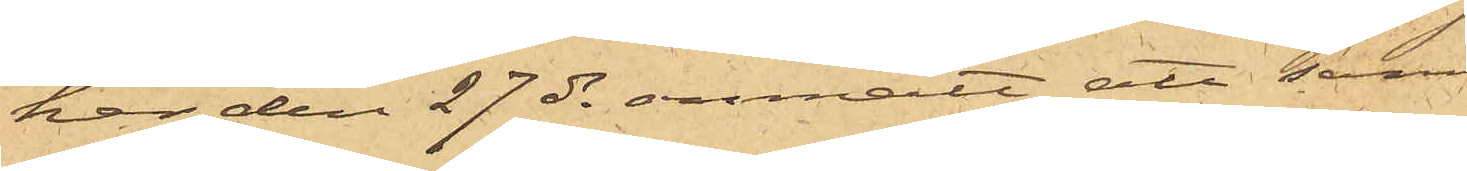har den 27 ds anmält att samma dag
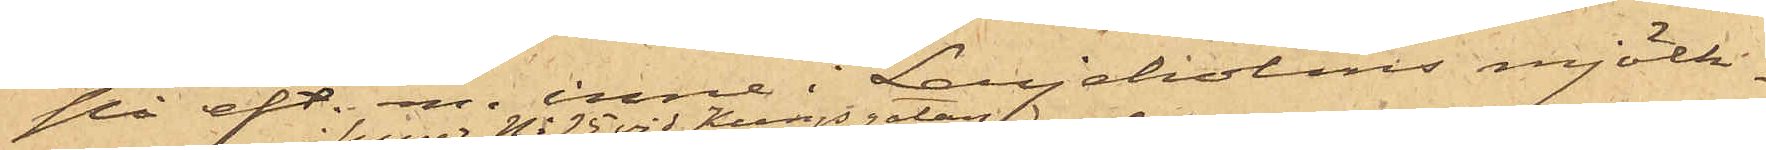på eft. m. inne i Lerjeholms mjölk¬
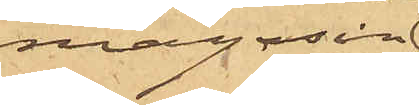magasin
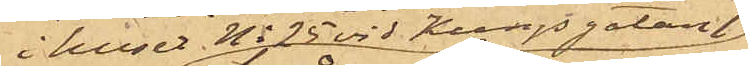i huset No 25 vid Kungsgatan
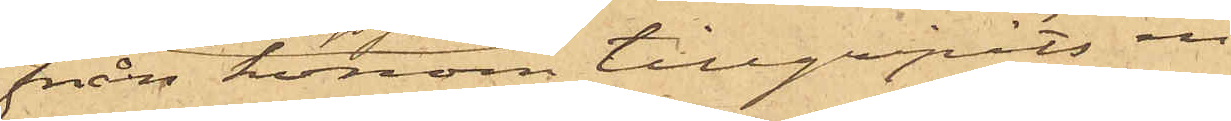från honom tillgripits en
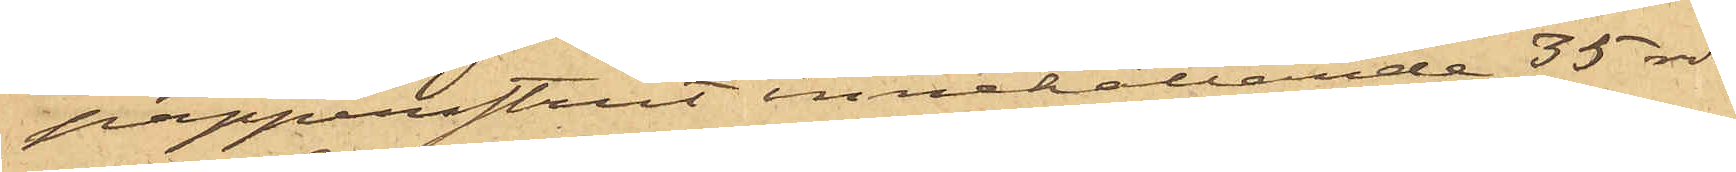pappersstrut innehållande 35 rdr,
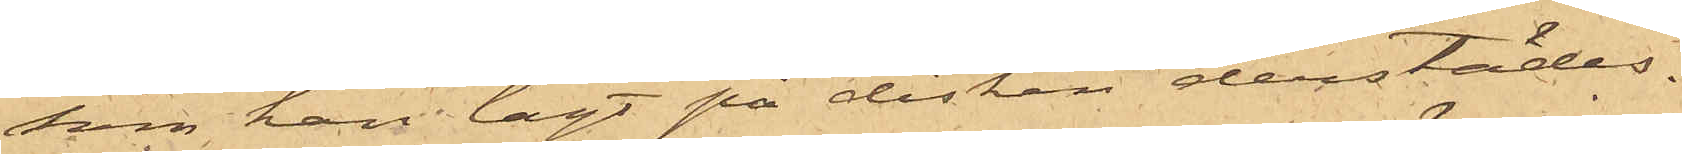som han lagt på disken derstädes.
